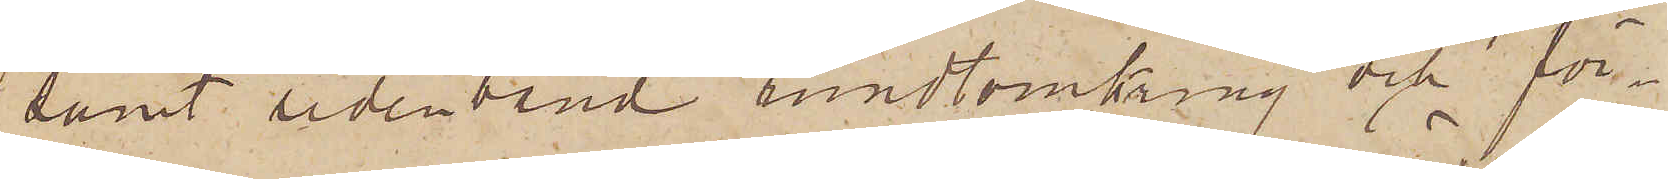samt sidenband rundtomkring och för¬
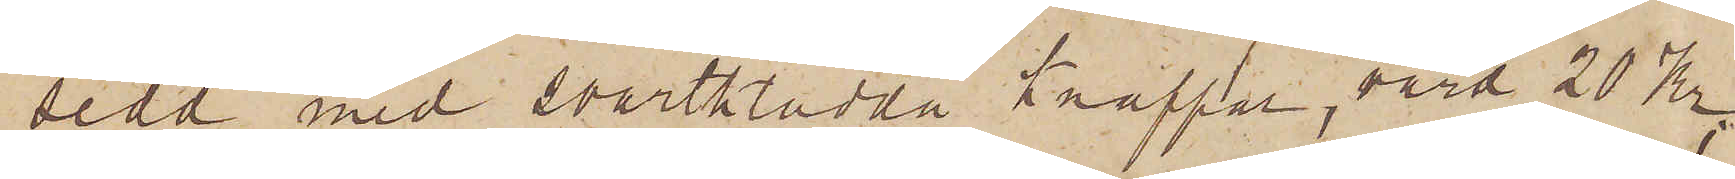sedd med svartklädda knappar, värd 20 Kr;
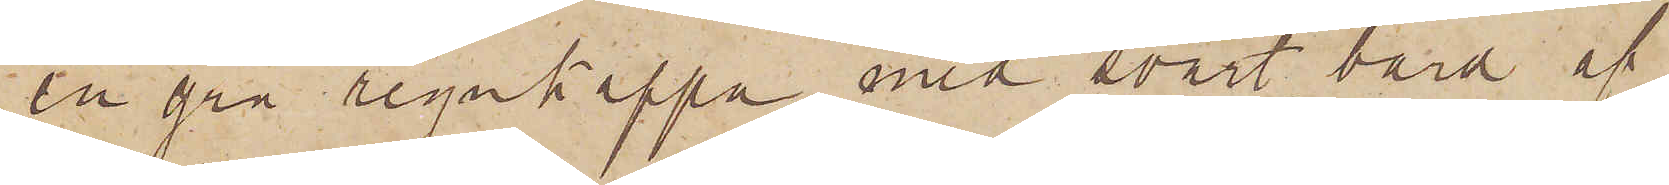en grå regnkappa med svart bård af
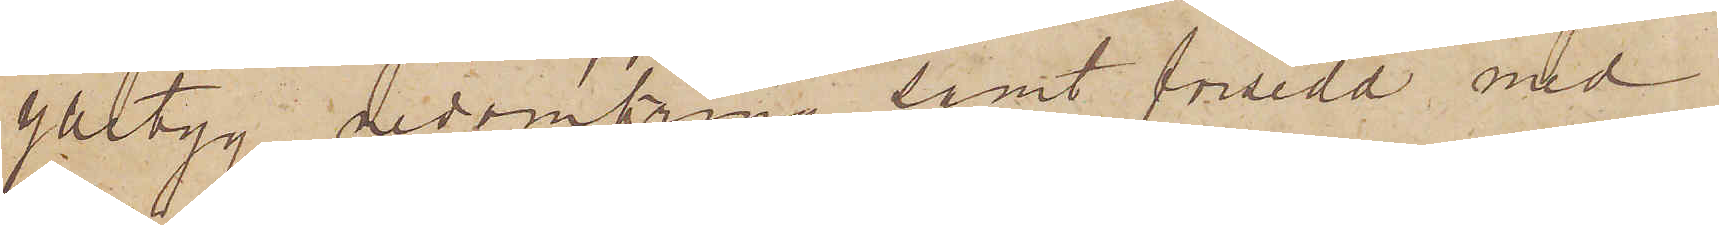ylletyg deromkring samt försedd med
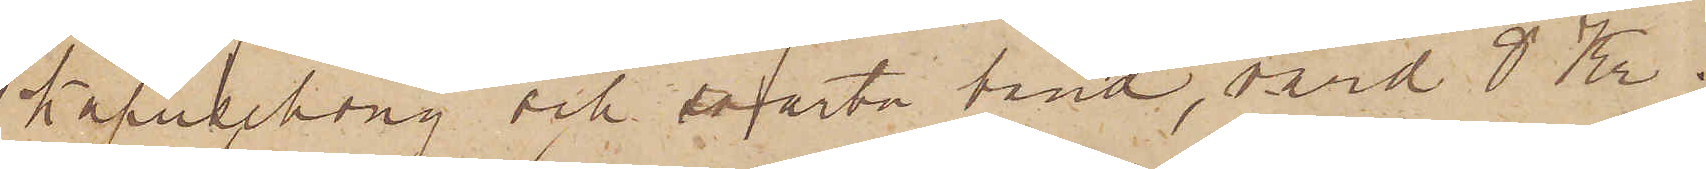kapuschong och svarta band, värd 8 Kr;
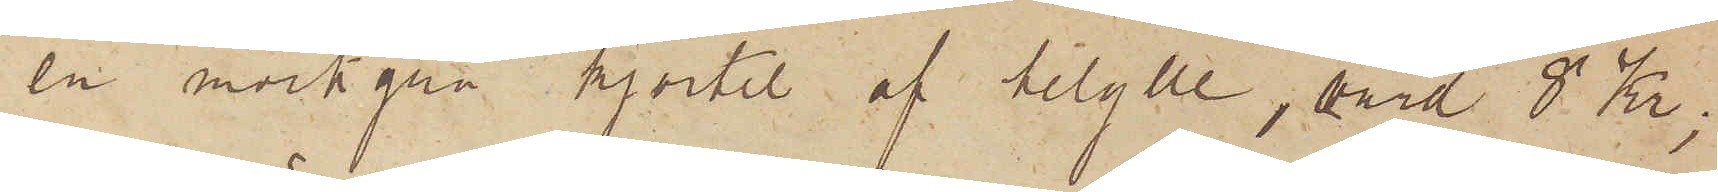en mörkgrå kjortel af helylle, värd 8 Kr;
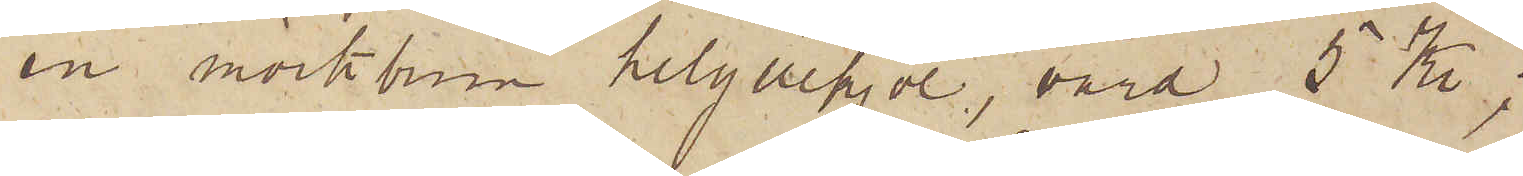en mörkbrun helyllekjol, värd 5 Kr;
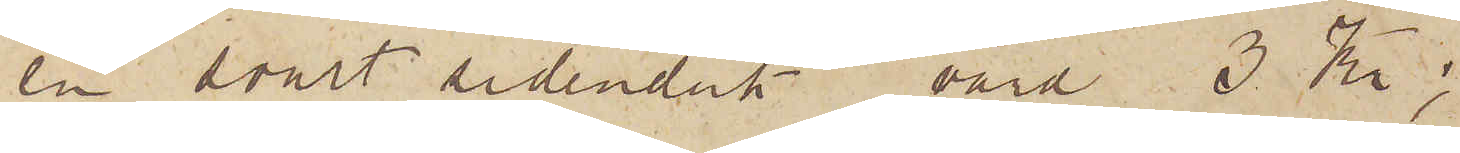en svart sidenduk, värd 3 Kr;
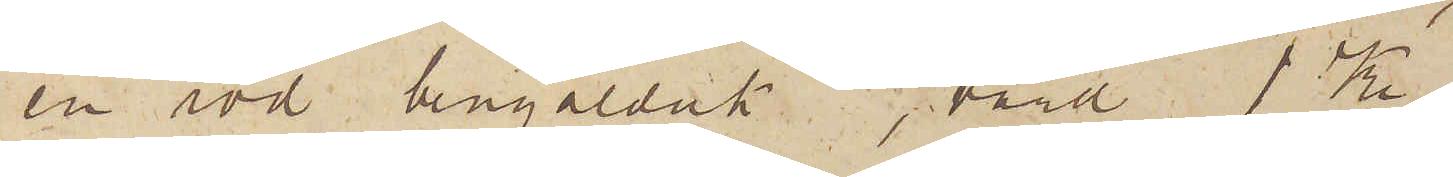en röd bengalduk, värd 1 Kr;
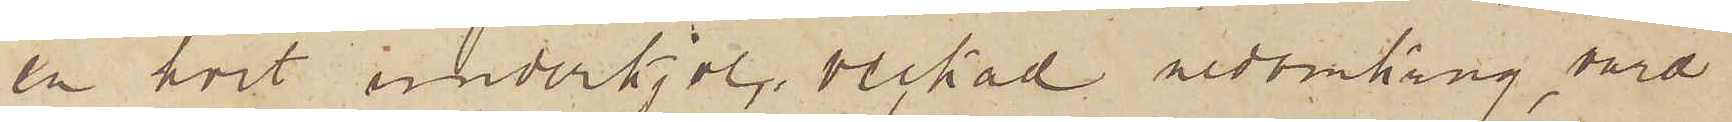en hvit underkjol, veckad nedomkring, värd
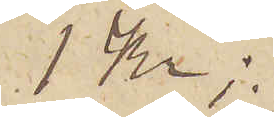1 Kr;
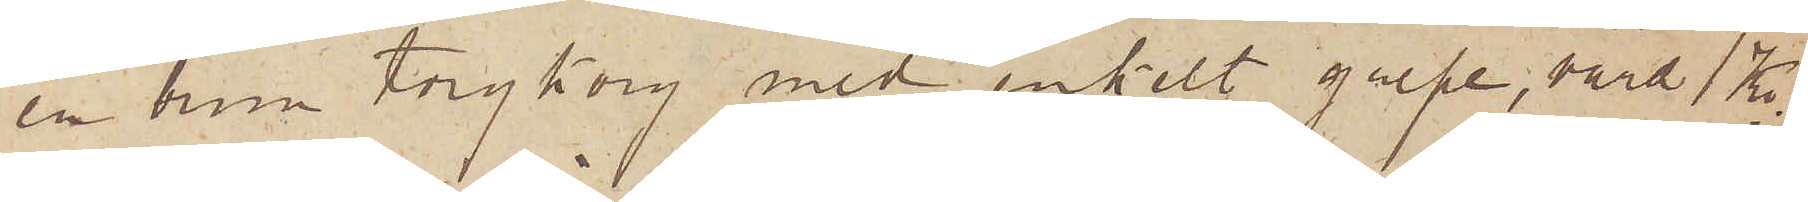en brun torgkorg med enkelt grepe, värd 1 Kr;
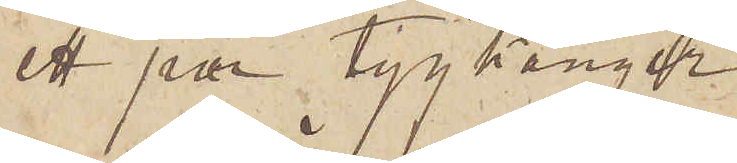ett par tygkänger
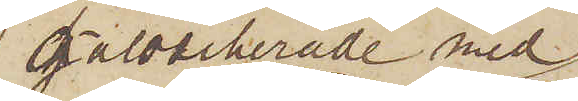galoscherade med
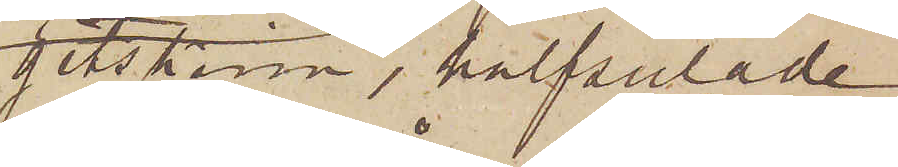getskinn, halfsulade
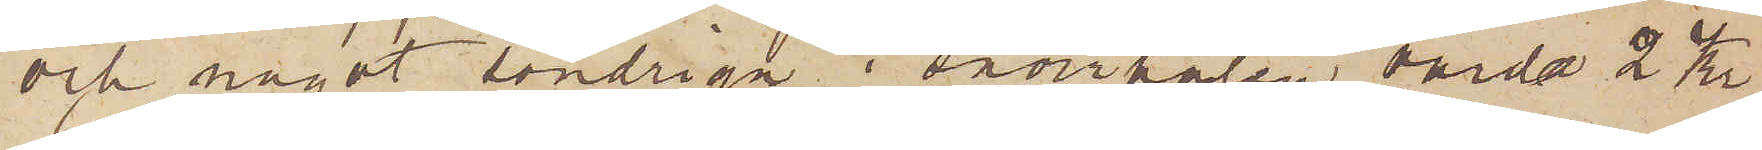och något söndriga i snörhålen, värda 2 Kr;
